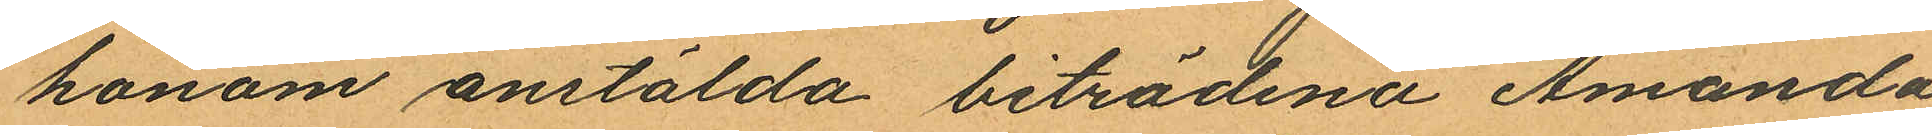honom anstälda biträdena Amanda
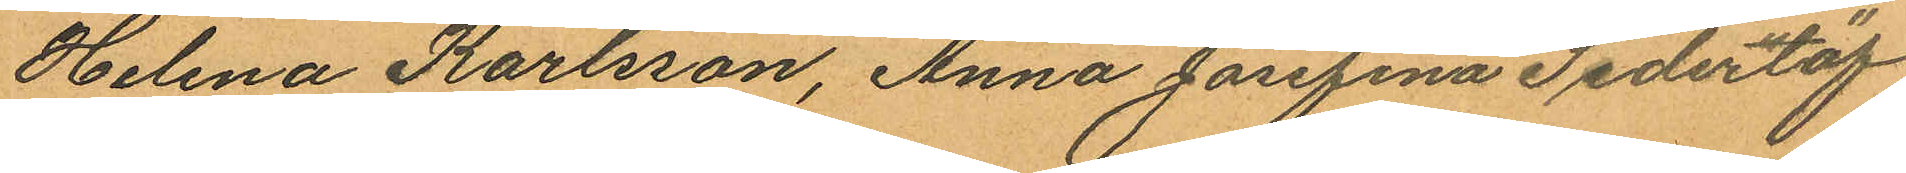Helena Karlsson, Anna Josefina Sederlöf
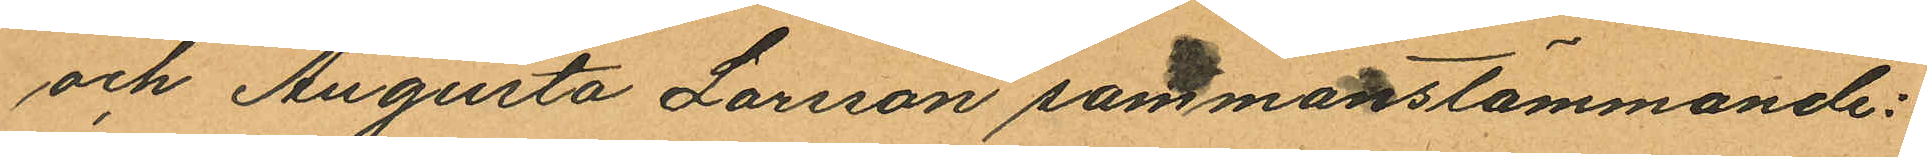och Augusta Larsson sammanstämmande:
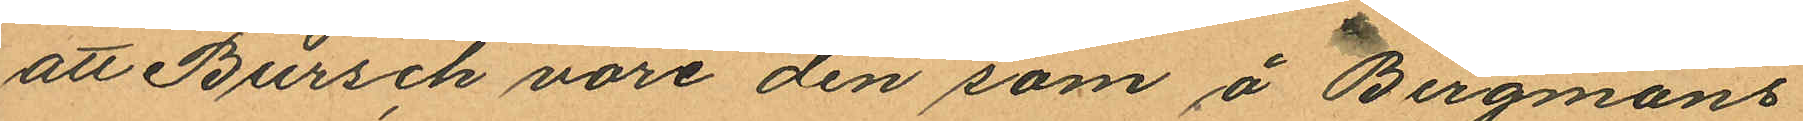att Bursch vore den som å Bergmans
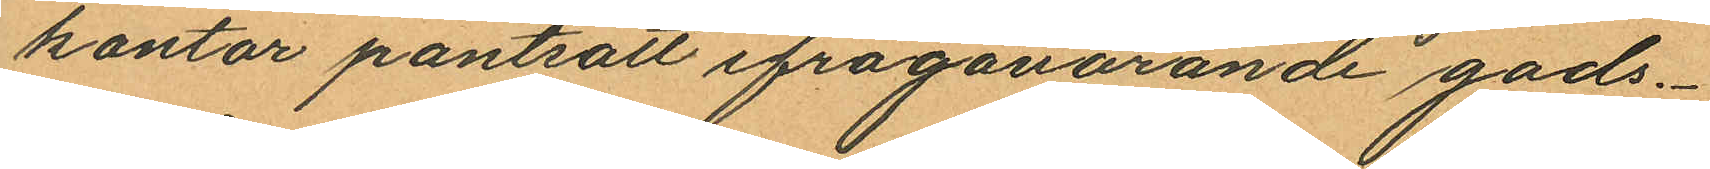kontor pantsatt ifrågavarande gods.
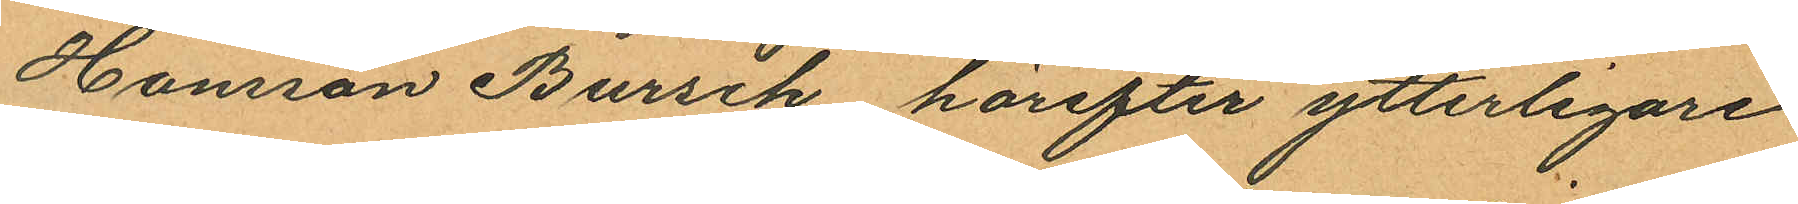Hansson Bursch härefter ytterligare
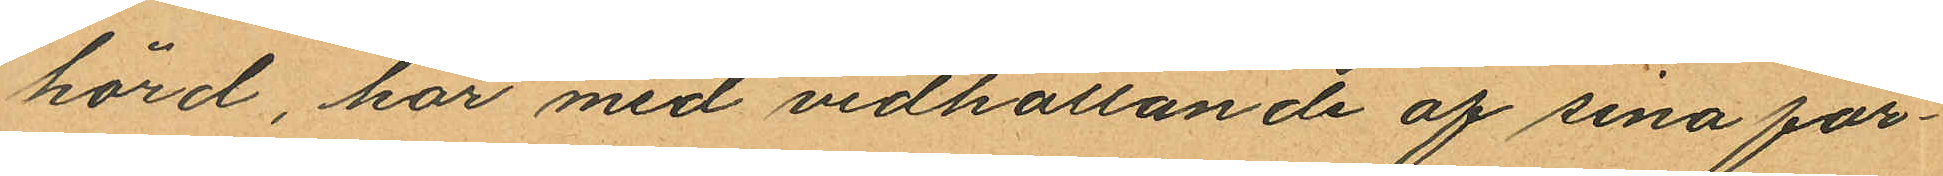hörd, har med vidhållande af sina för¬
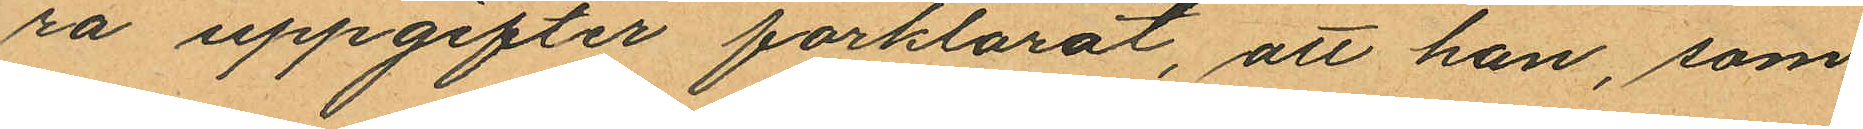ra uppgifter förklarat, att han, som
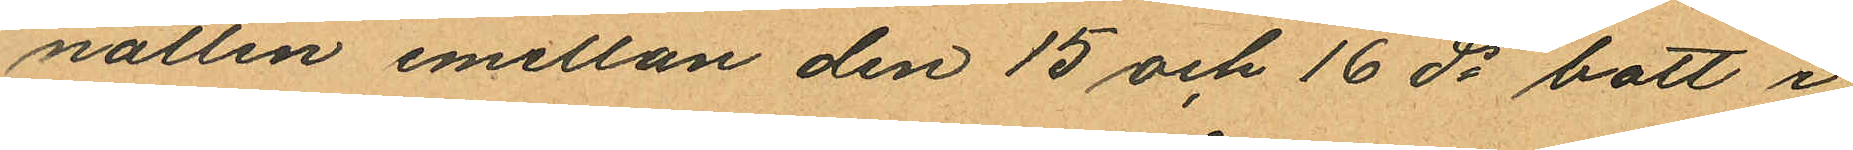natten mellan den 15 och 16 ds bott i
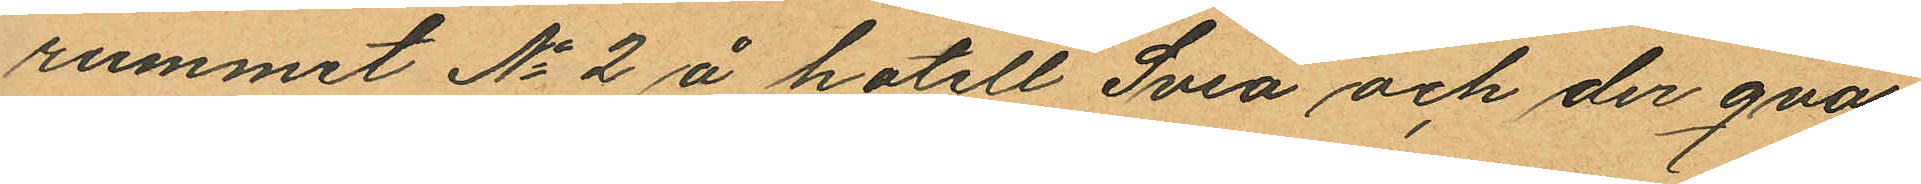rummet No 2 å hotell Svea och der qvar
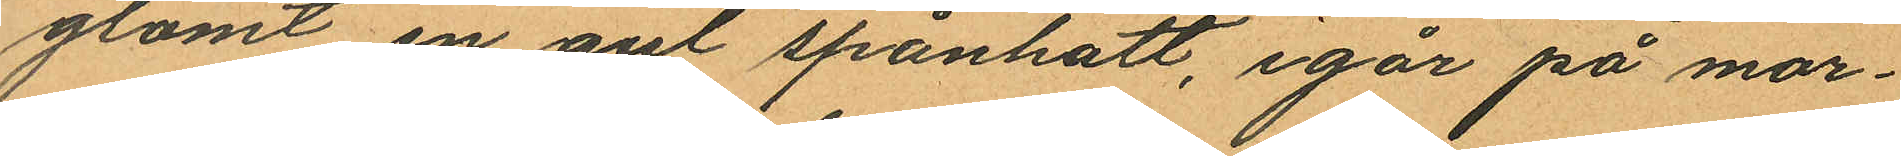glömt en gul spånhatt, igår på mor¬
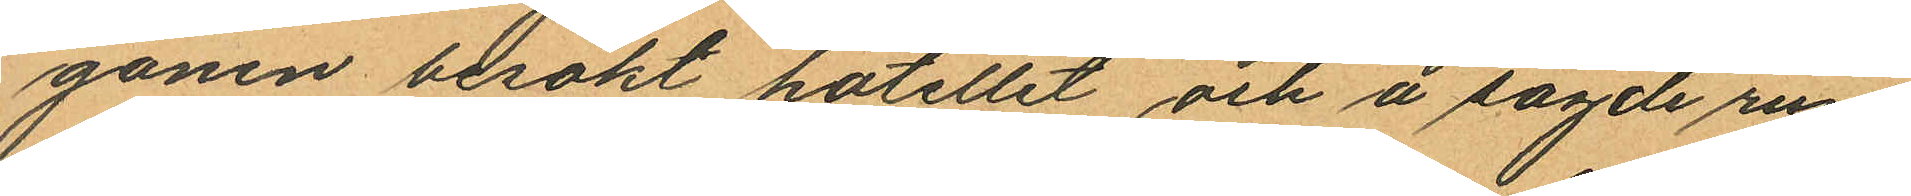gonen besökt hotellet och å sagde rum
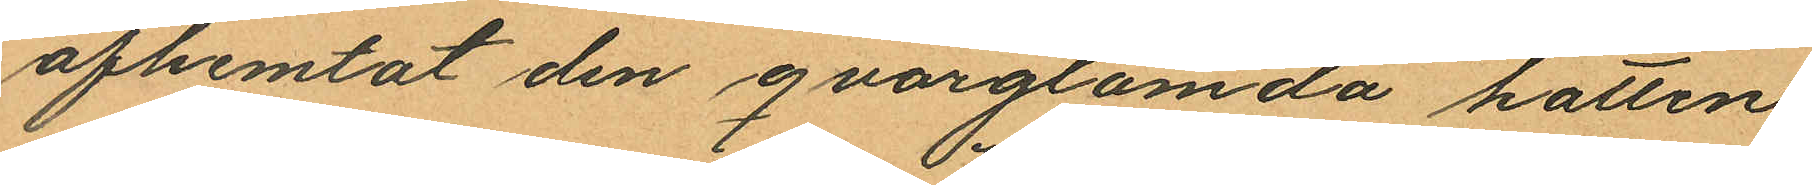afhemtat den qvarglömda hatten
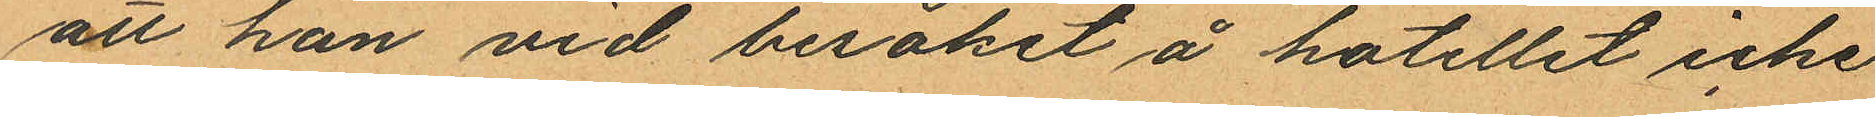att han vid besöket å hotellet icke
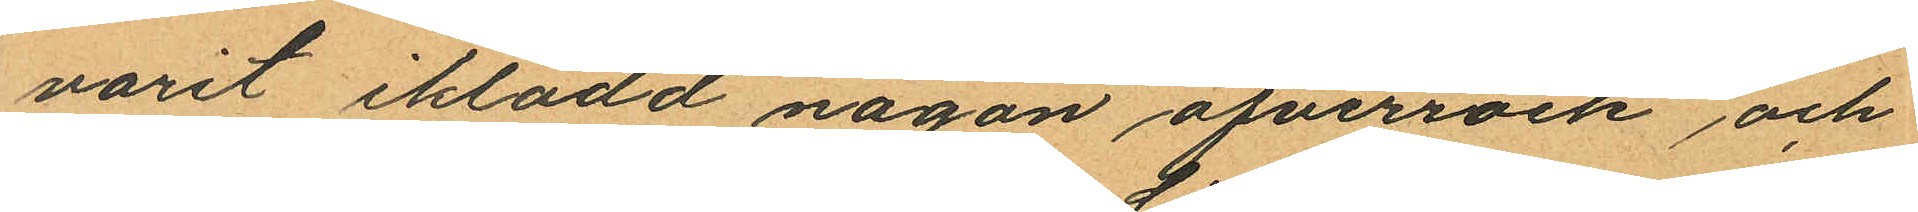varit iklädd någon öfverrock och
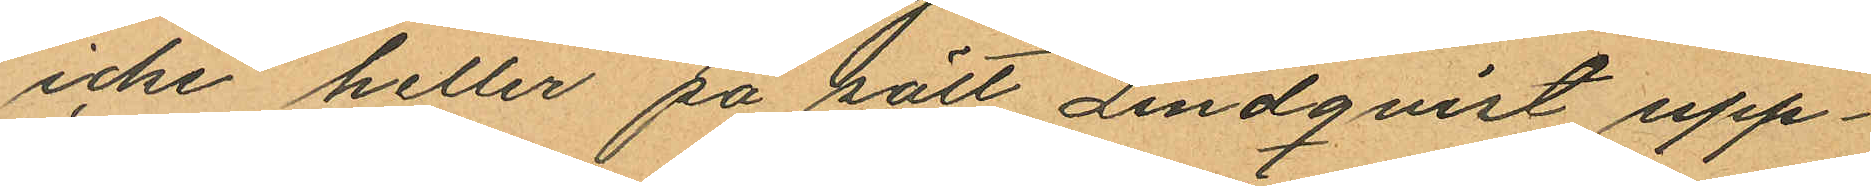icke heller på sätt Lindqvist upp¬
